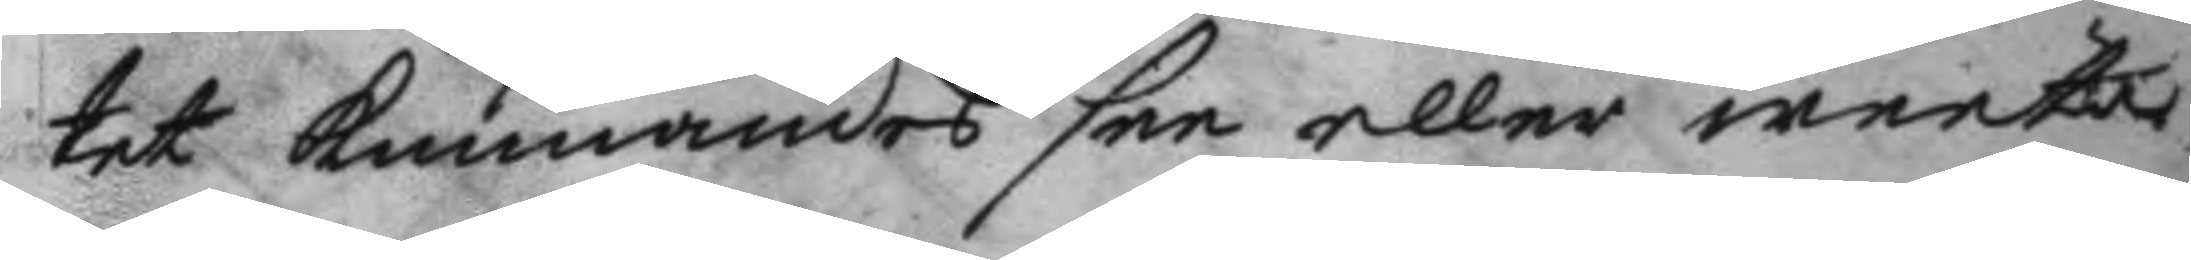tet kunnandes see eller weeta
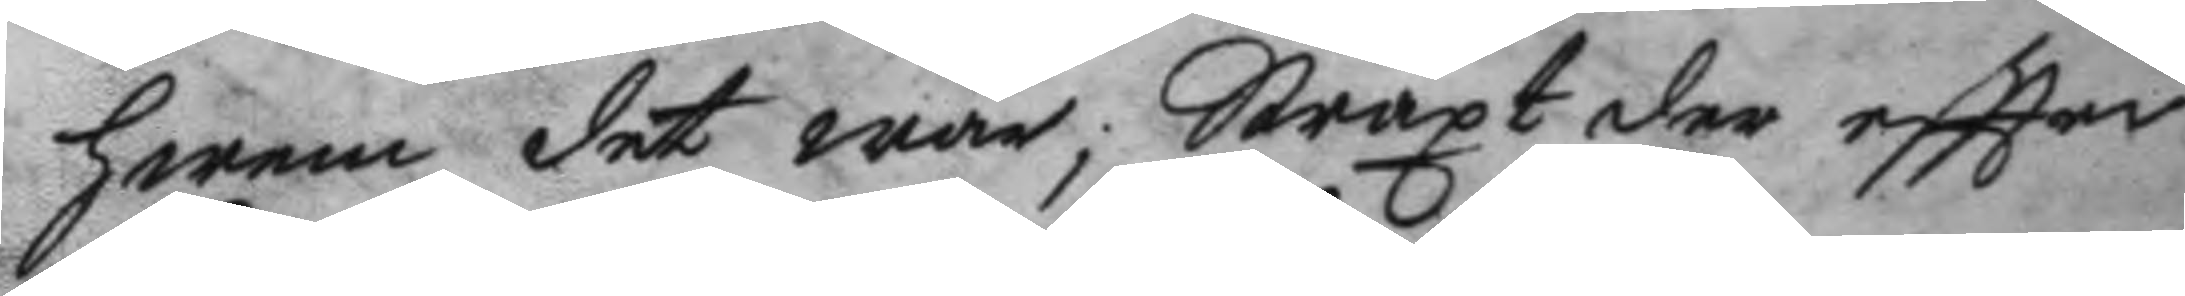hwem det war; straxt der eftter
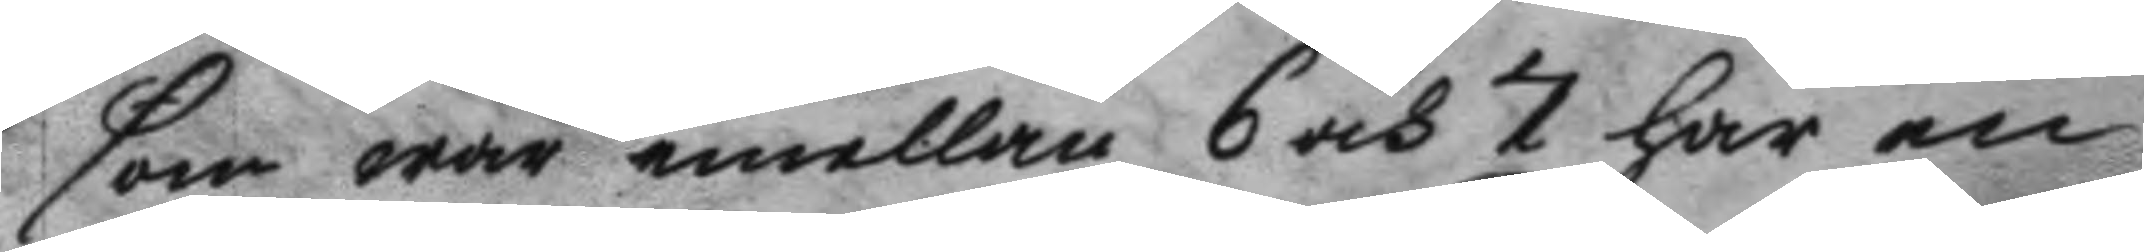som war emellan 6 och 7 han en
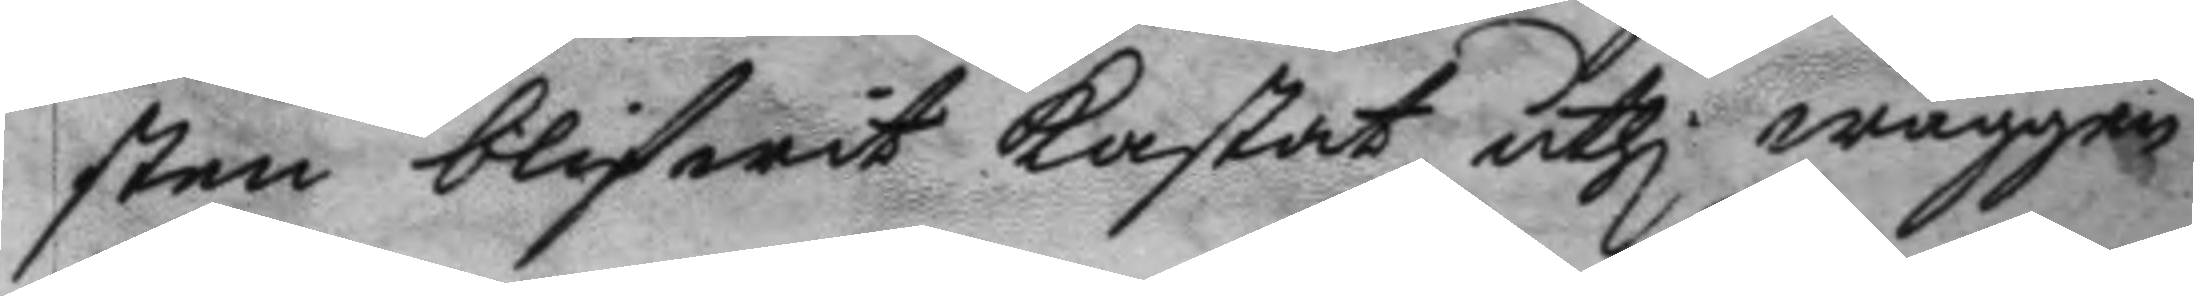sten blifwit kastat uthi wäggen
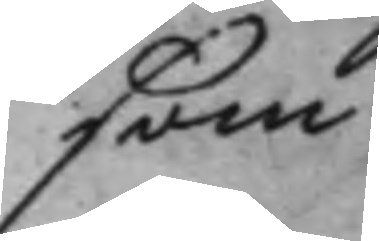som
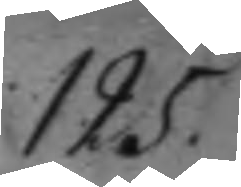125.
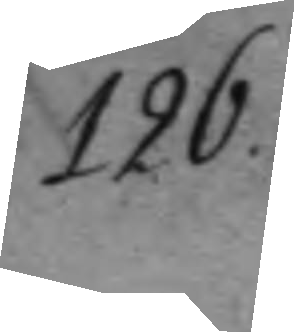126.
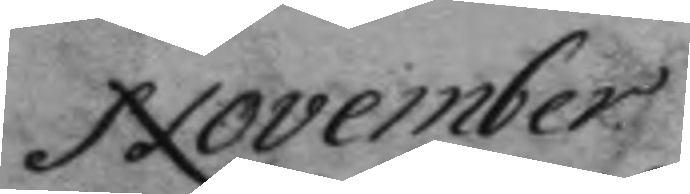November
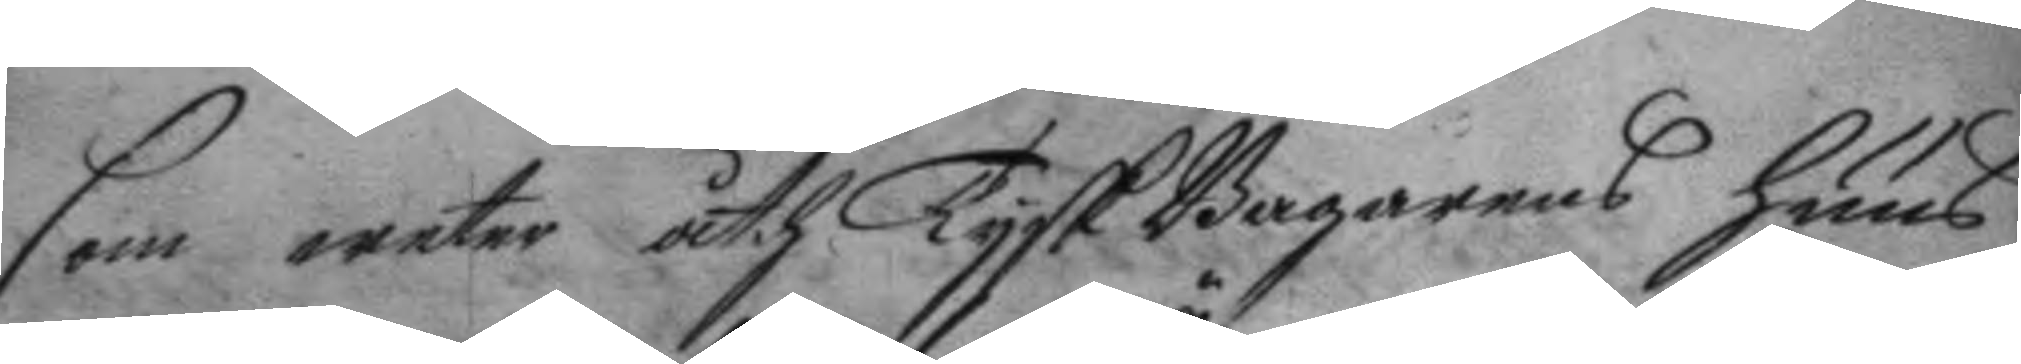som weter åth Tysk Bagarens huus
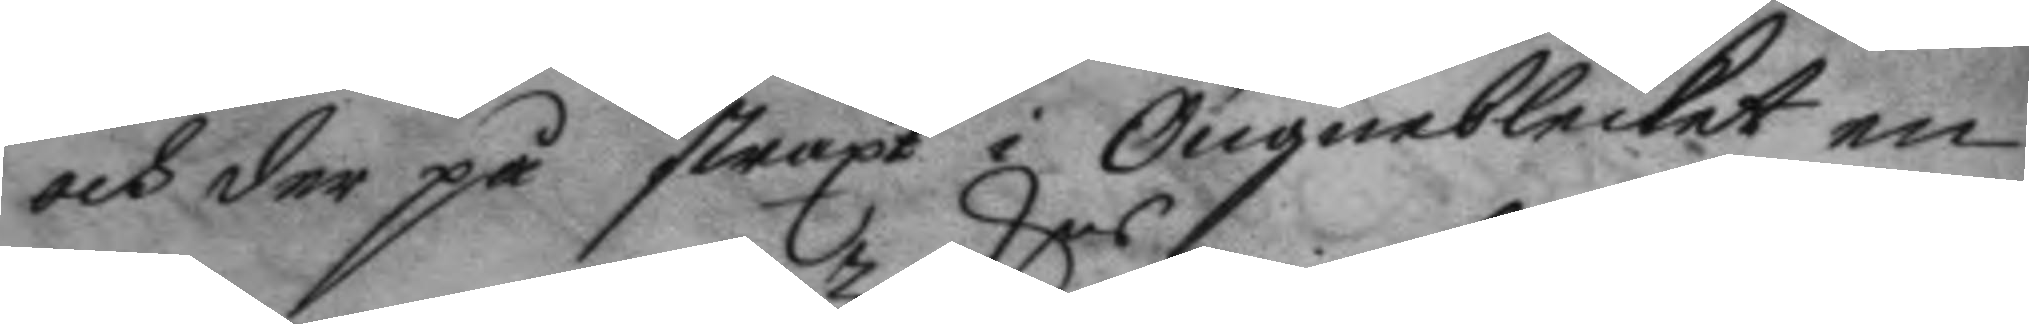och der på straxt i Öngneblecket en
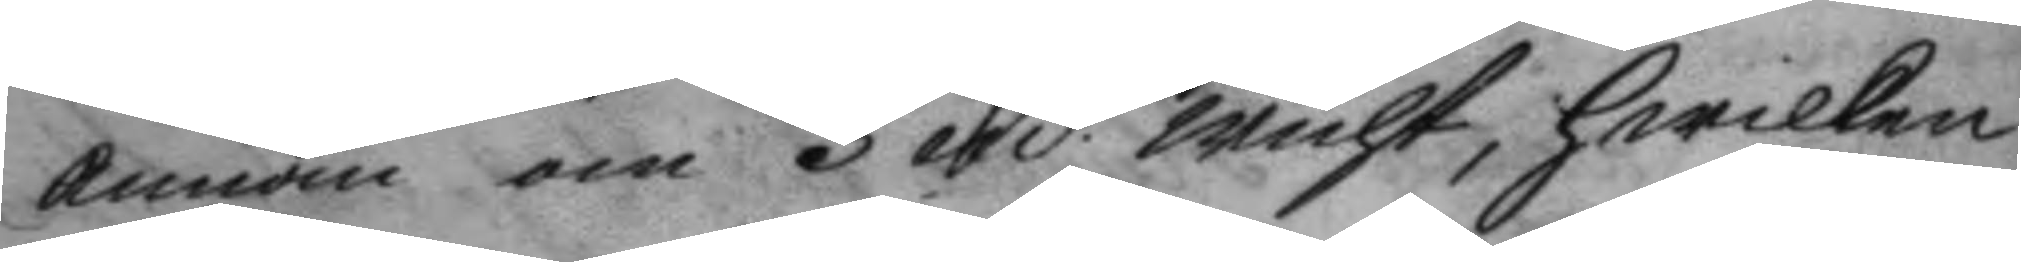annan om 3 mrkrs wicht, hwilken
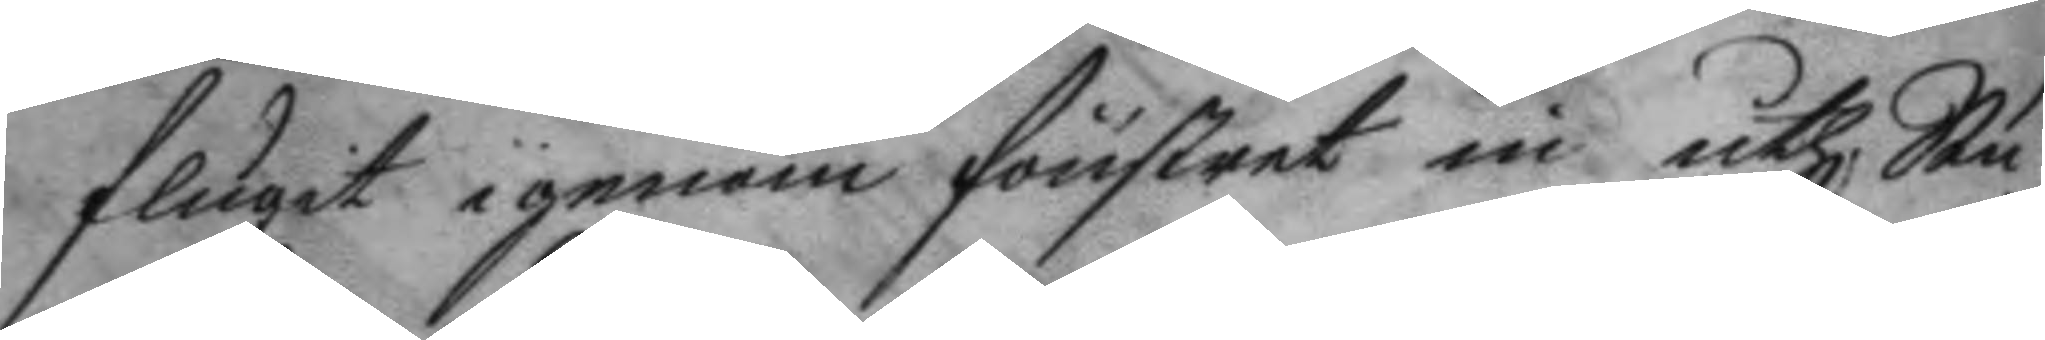slagit igenom fönstret in uthi Stu¬
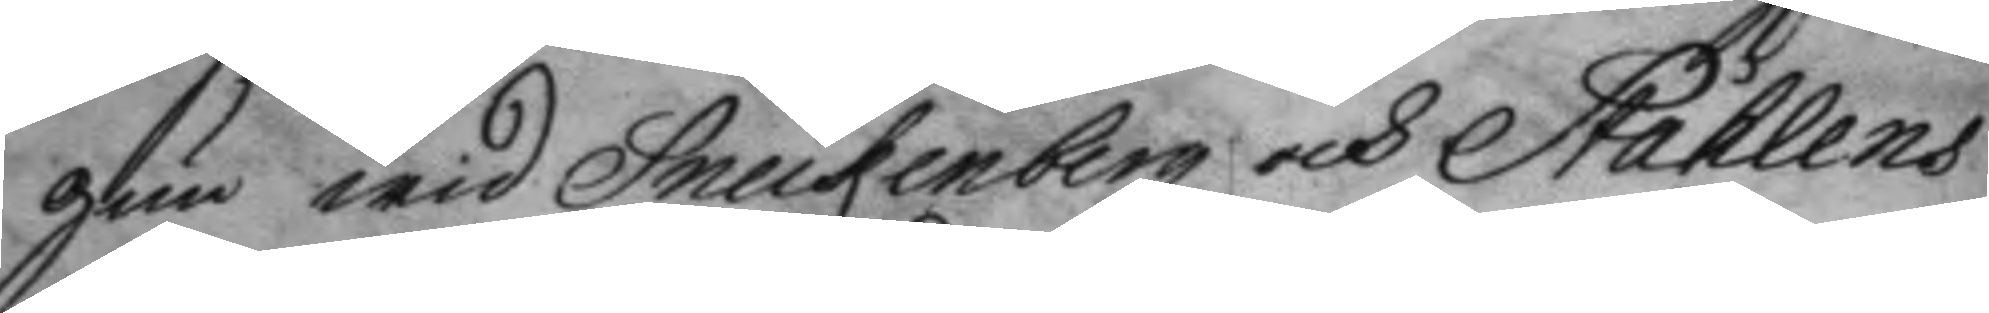gun wid Sneckenbergz och Ståklens
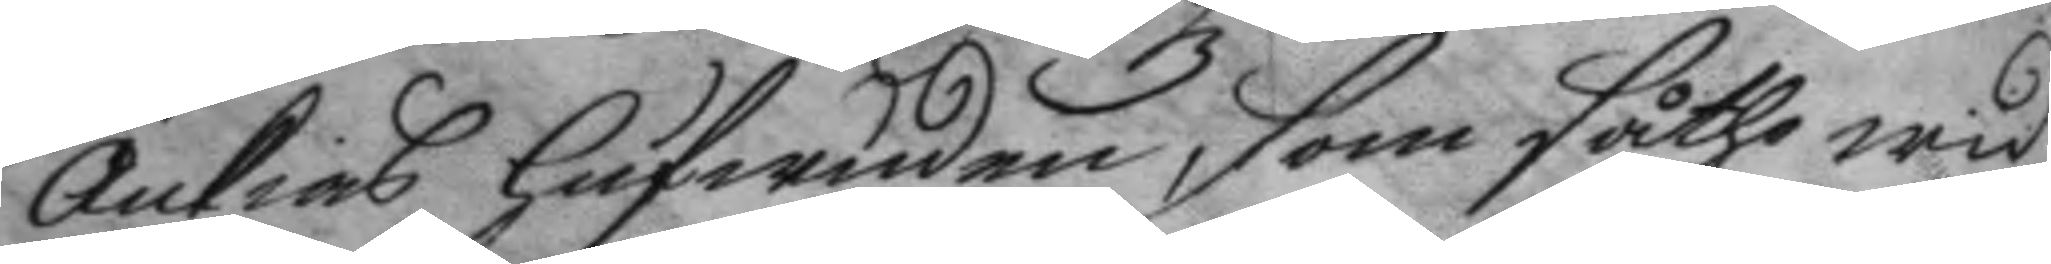Änkias hufwuden, som såthe wid
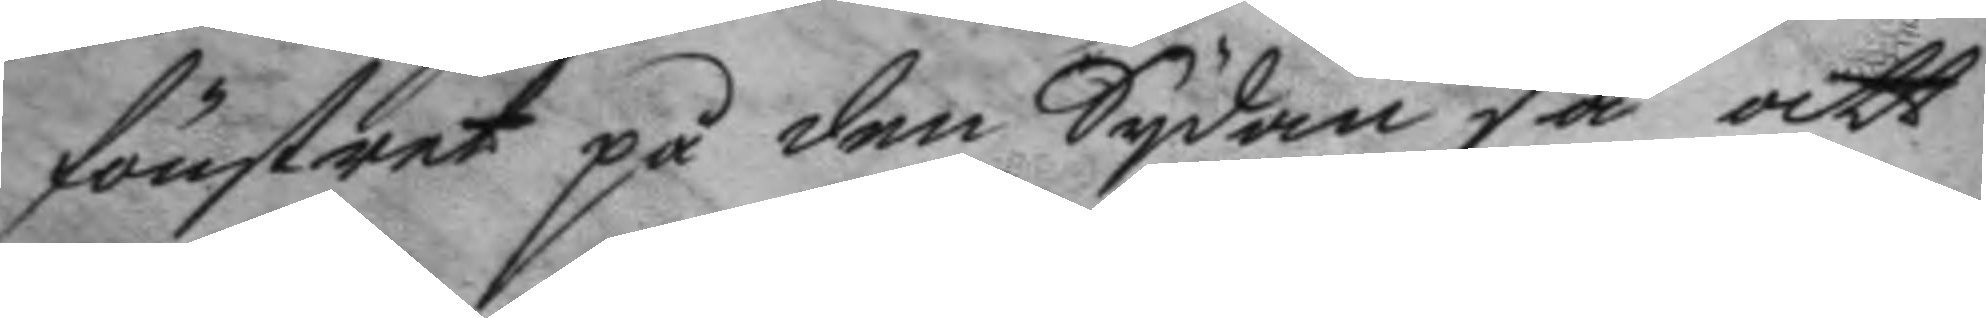fönstret på den Sydan så att
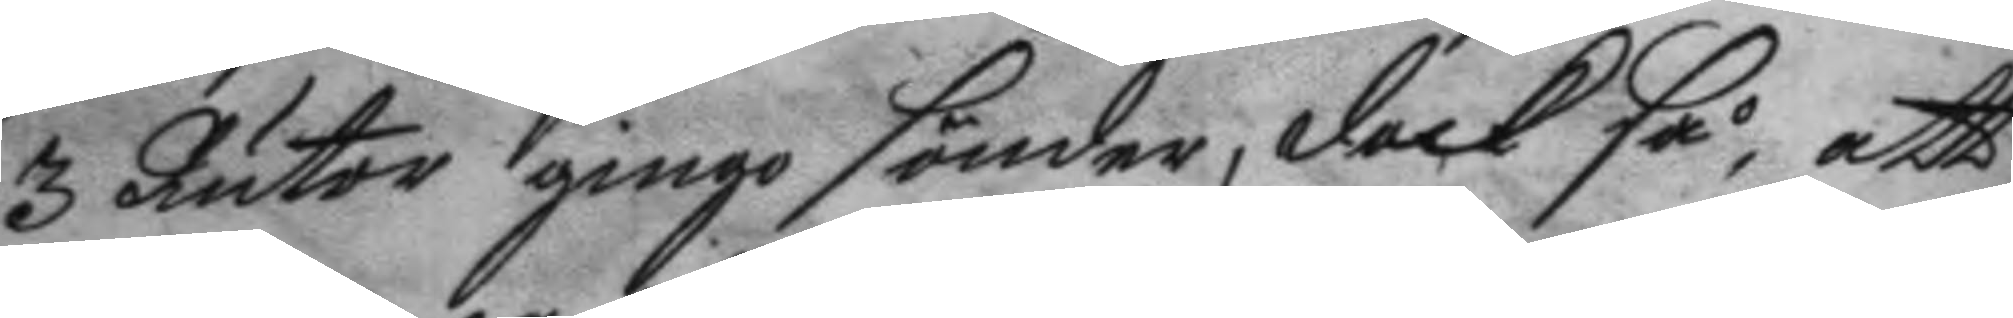3 Rutor gingo sönder, dock så, att
